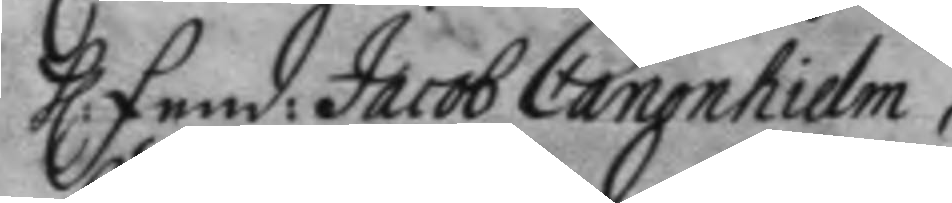h: fend: Jacob Canonhielm,
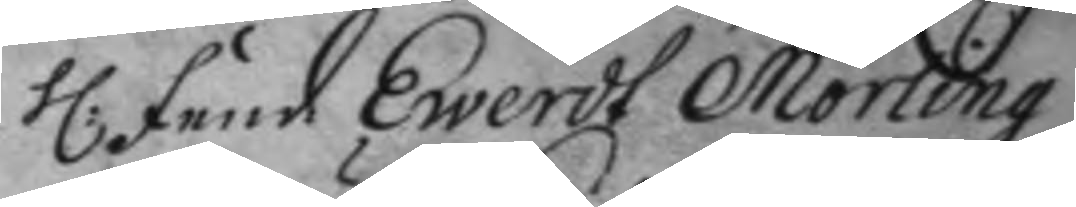h: fend Ewerdt Mörling
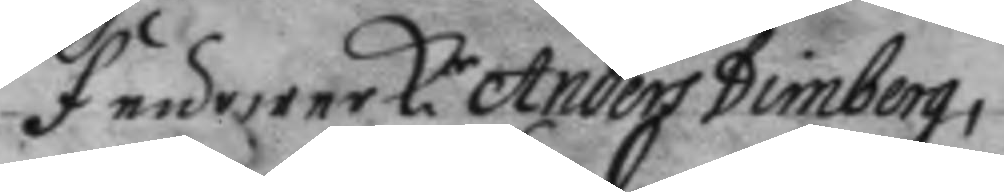feurwerk.r Anders Dimberg,
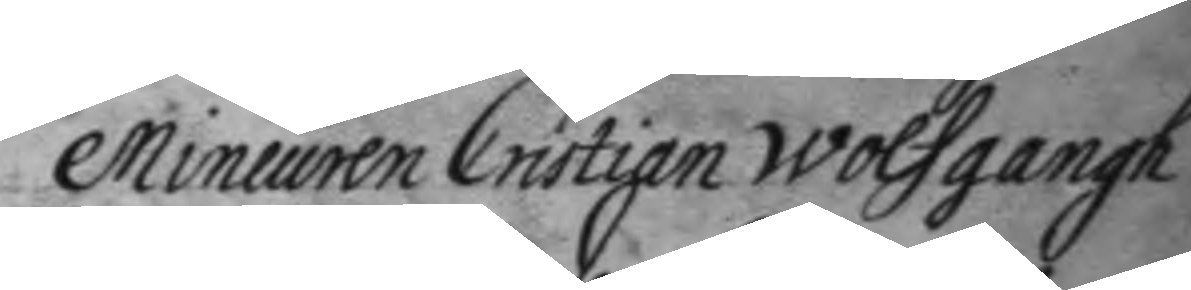Mineuren Cristian Wolfgangh
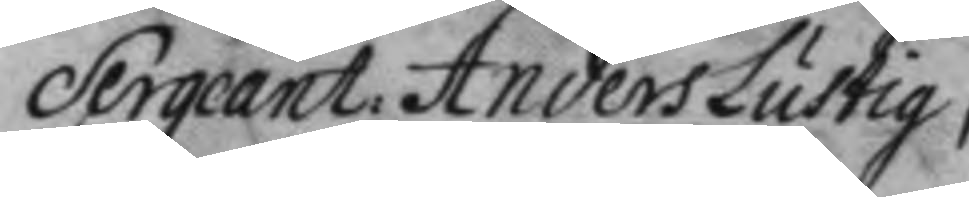Sergeant: Anders Lustig,
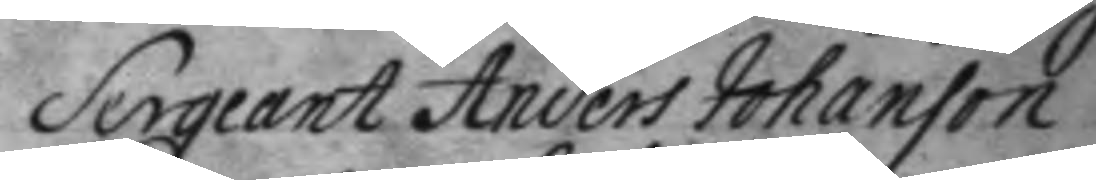Sergeant Anders Johanson
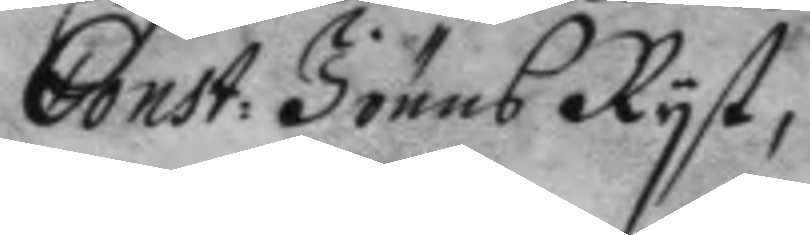Const: Jönns Ryst,
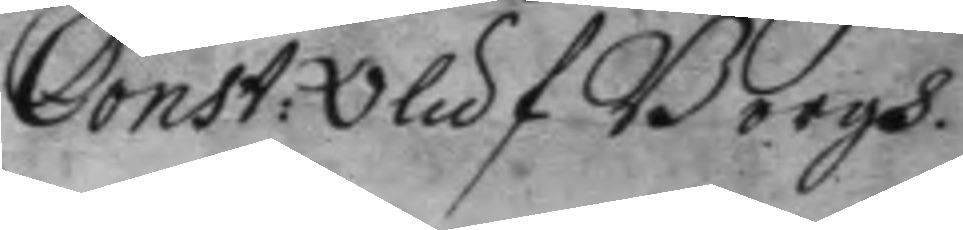Const: Oluf Borgh.
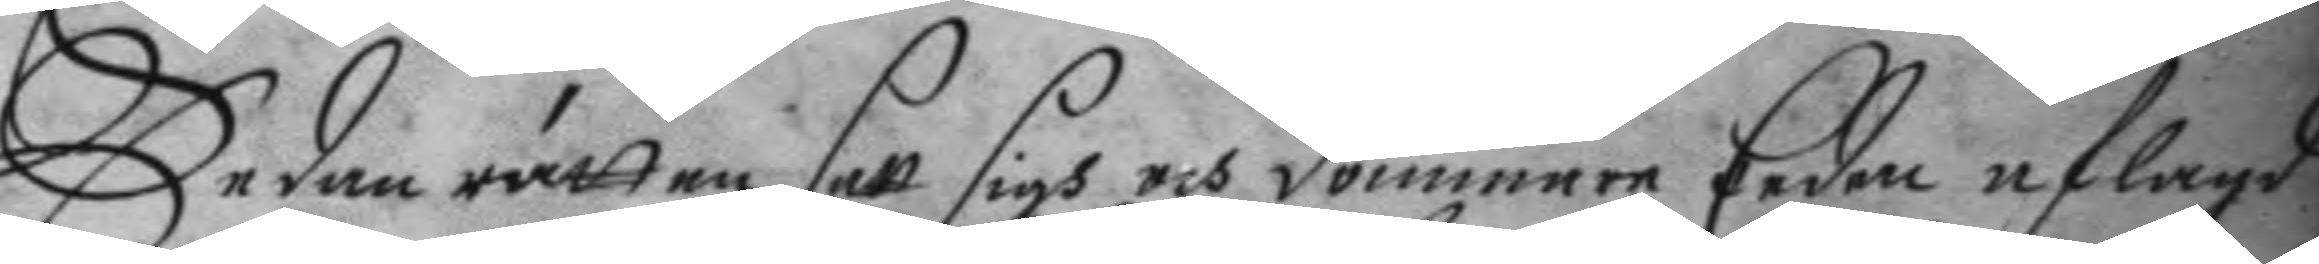Sedan rätten satt sigh och dommare Eeden aflagd
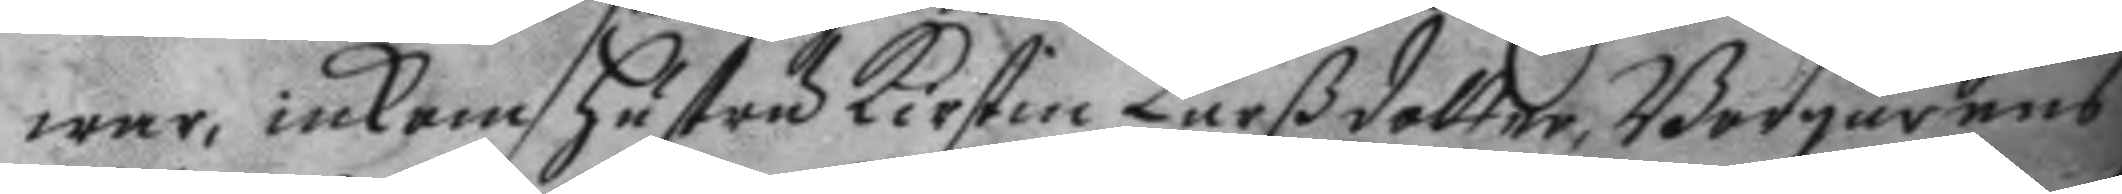war, inkom hustru Kirstin Larßdotter, Borgarens
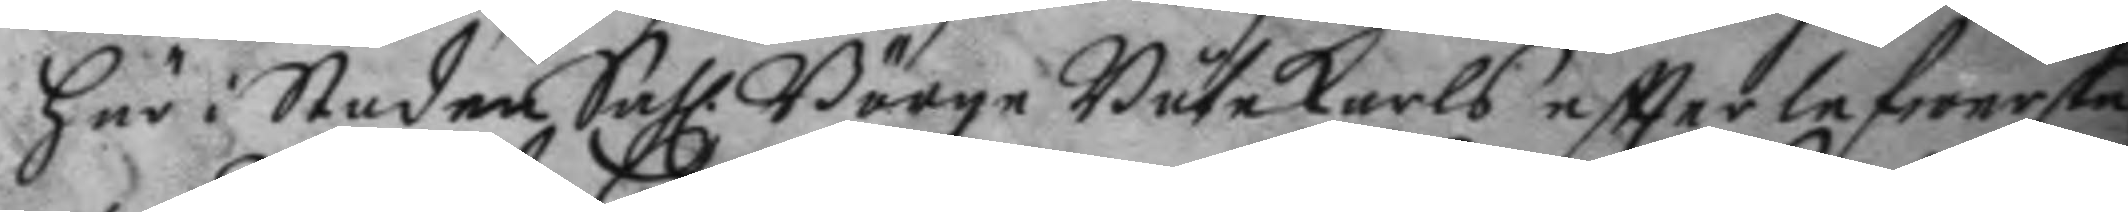här i Staden Sahl Börge Båtekarls eftterlefwerska
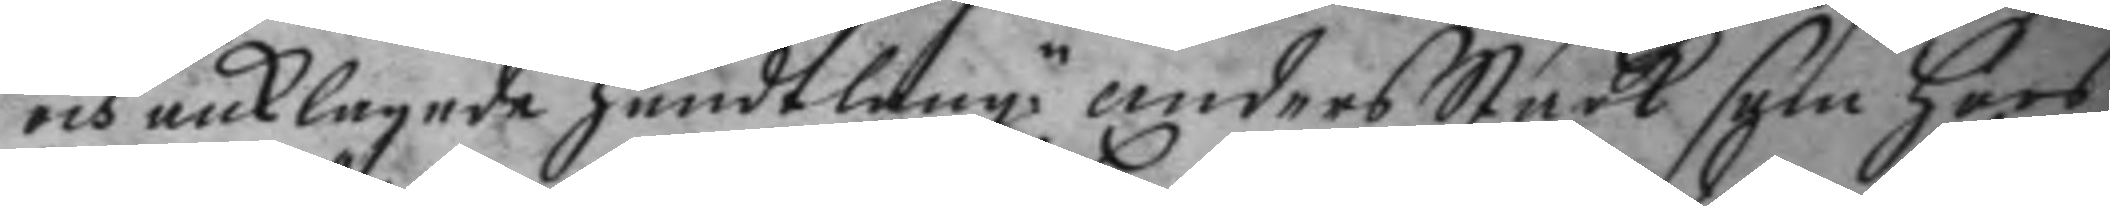och anklagade handtlang.n anders Stark som hoos
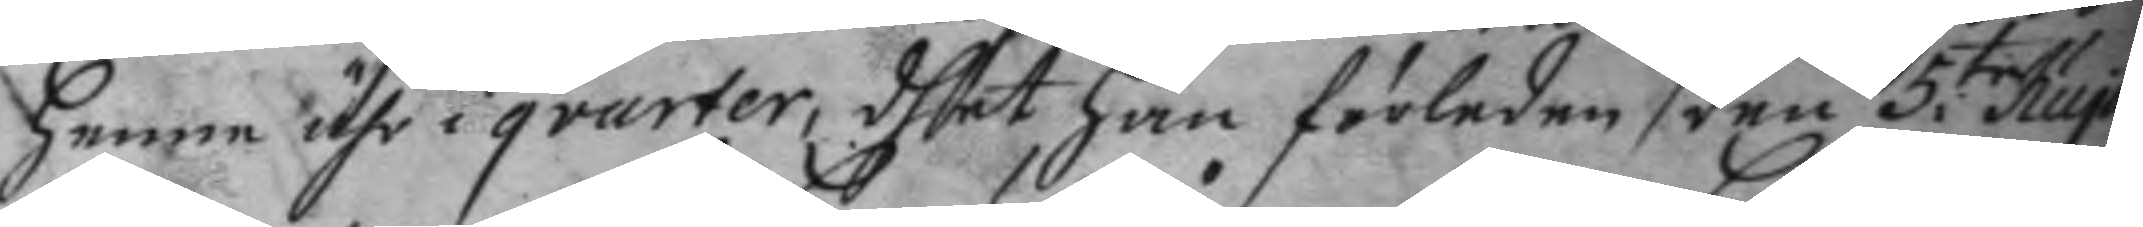henne ähr i qvarter, dhet han förleden den 5.te hujus
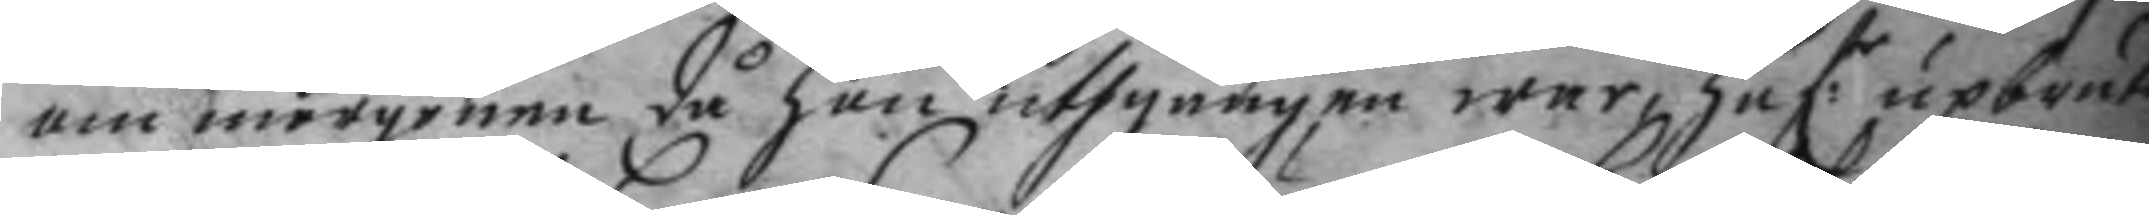om morgonen då hon uthgången war, haf:r upbrutit
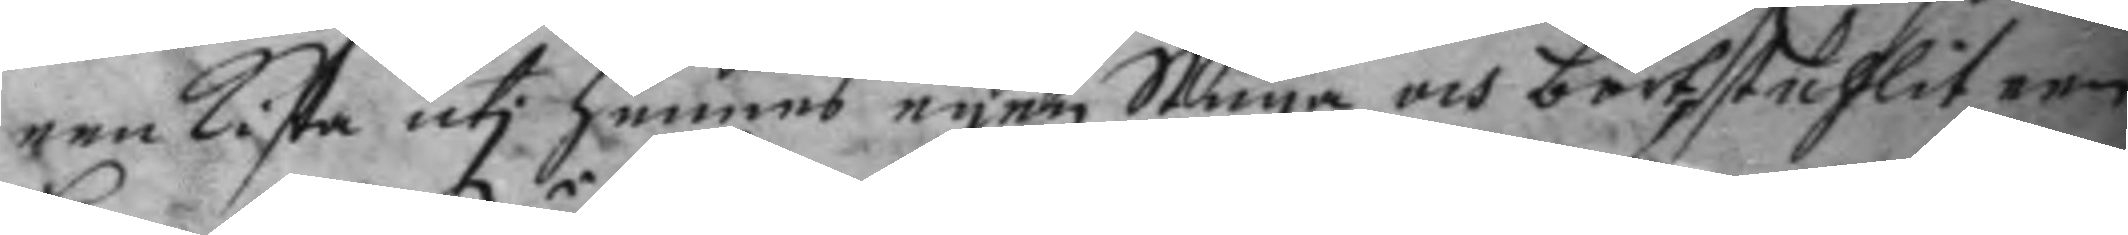een kista uti hennes egen Stuga och bortstuhlit een
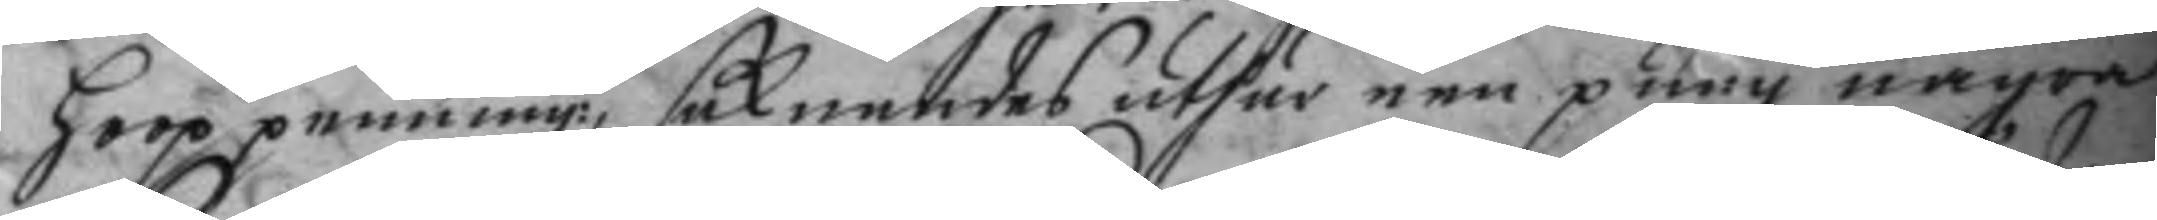hoop pennin:r saknades uthur een pung några
